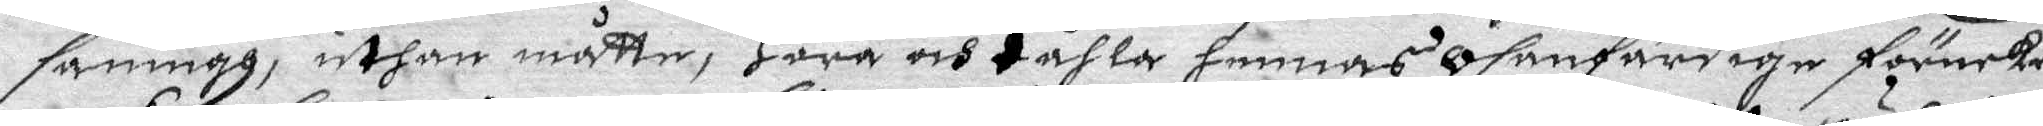sanningh, uthan måtte, Höra och tåhla hennes osanfärdige förnekande
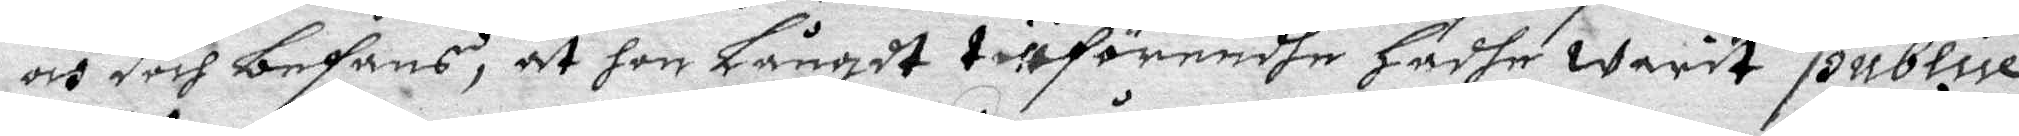och doch befans, at hon Långdt tillföremdhe Hadhe Warit publice
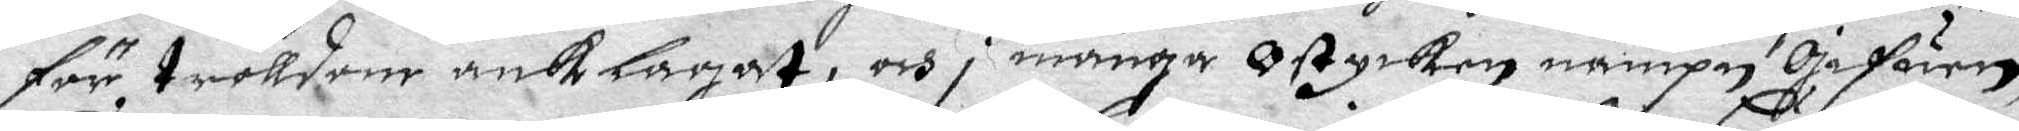för trolldom anklagat, och i många ostyrken nampn gifuen,
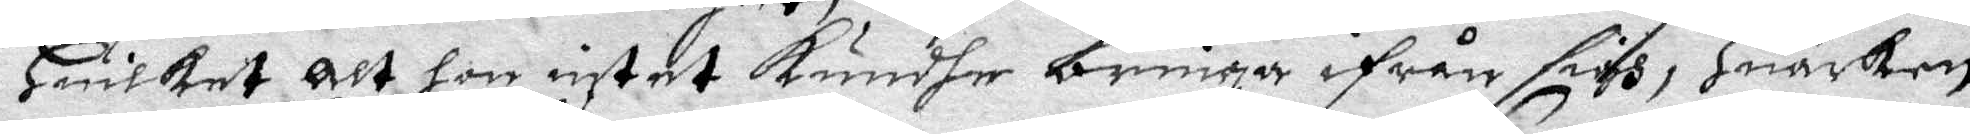Huilket alt hon intet kundhe bringa ifrån sigh, Huarken
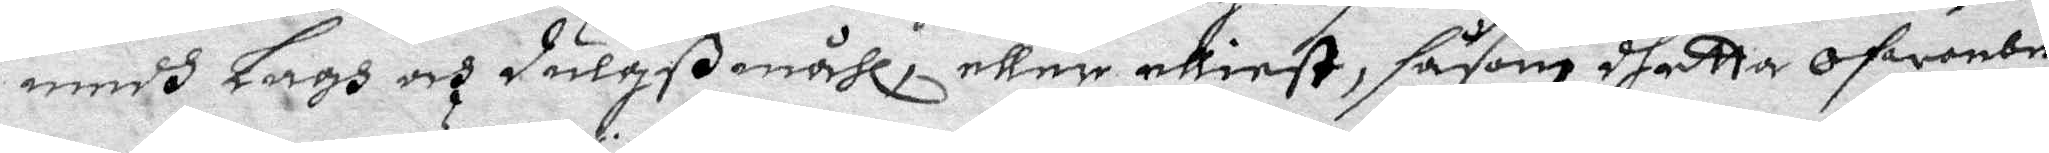medh Lagh och dulgßmåhl, eller elliest, såsom dhetta ofwanbe
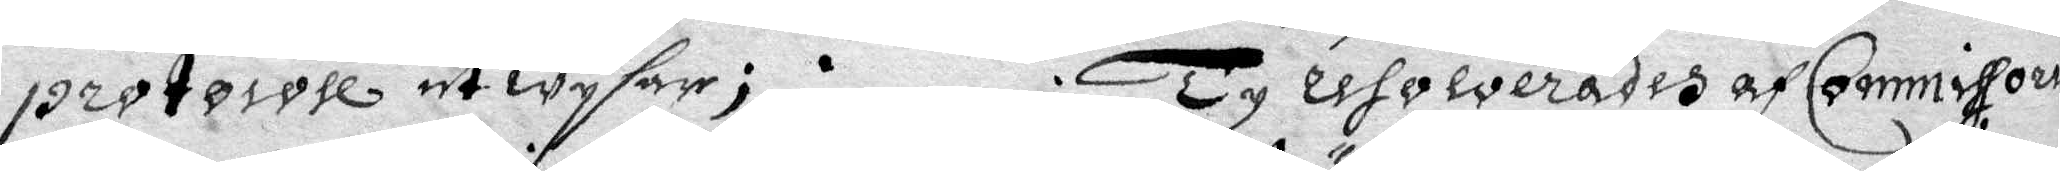protocoll utWysar; Ty resolverades af Commissoria
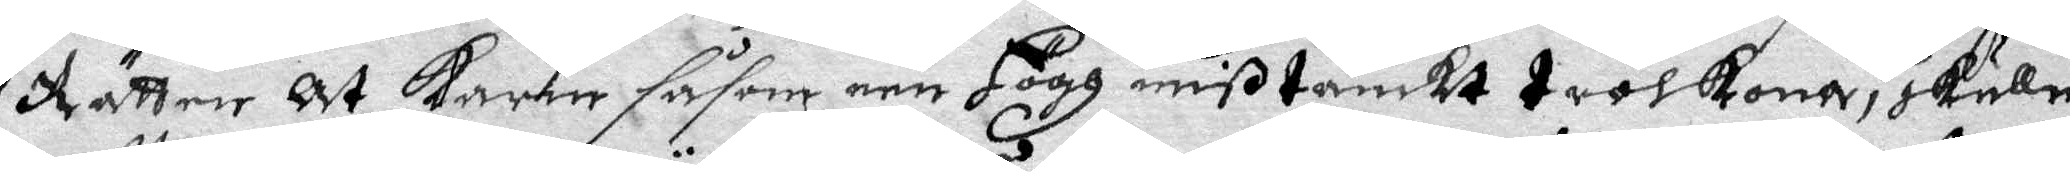Rätten at Karin såsom een Högh mißtänkt trolkona, skulle
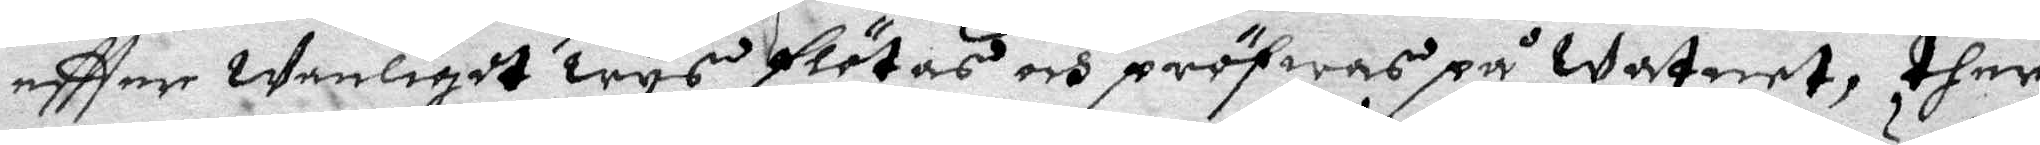eftter Wanligdt wys flötas och pröfwas på Watnet, ther
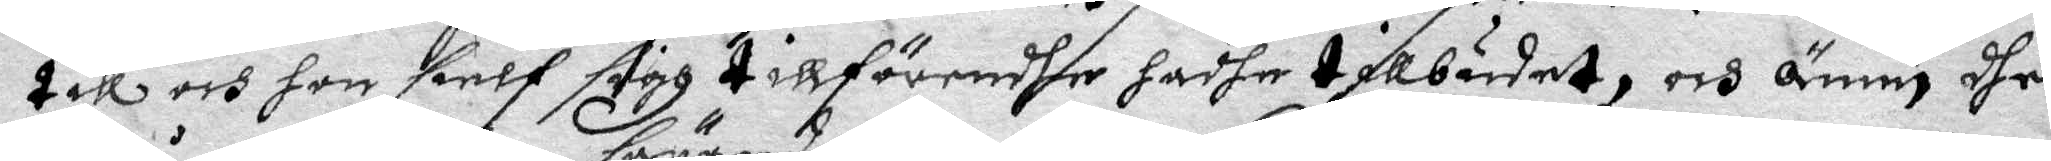till och hon sielf sigh tillförendhe hadhe tillbudat, och ännu dher
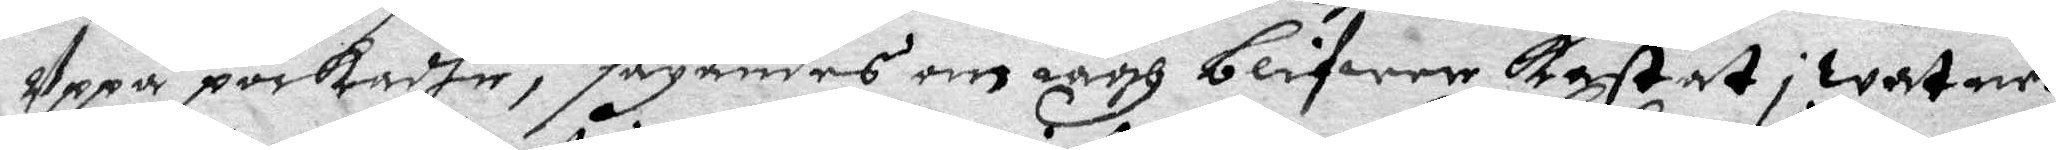Uppå pockadhe, säyandes om iagh blifwer kastat i watnet
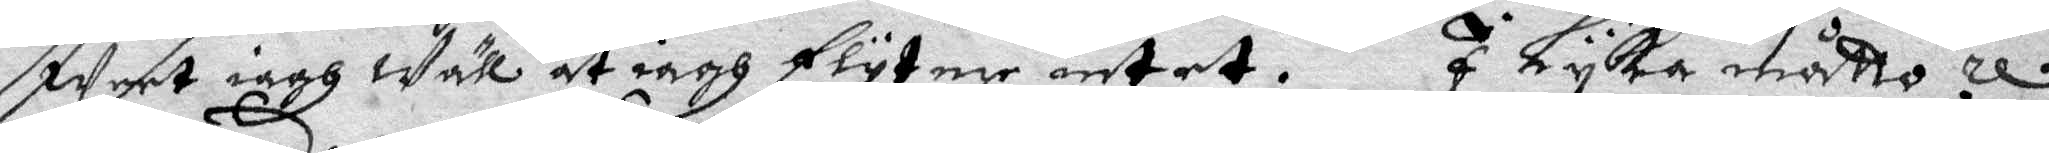weet iagh wäll at iagh flyter intet. I Lyka måtto re¬
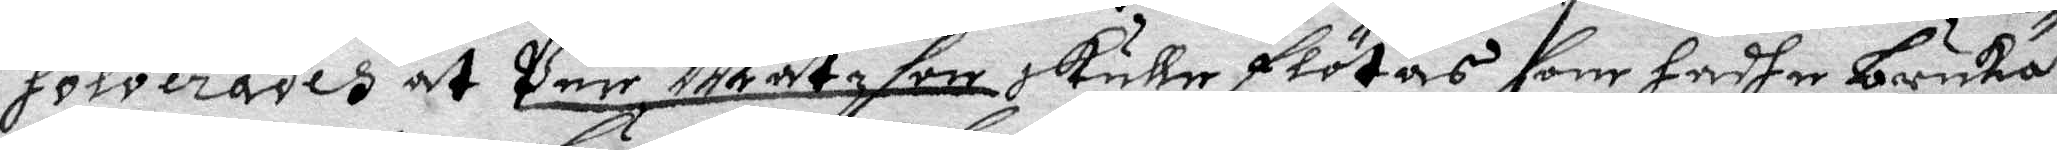solverades at per Matzson skulle flötas som hadhe brukat
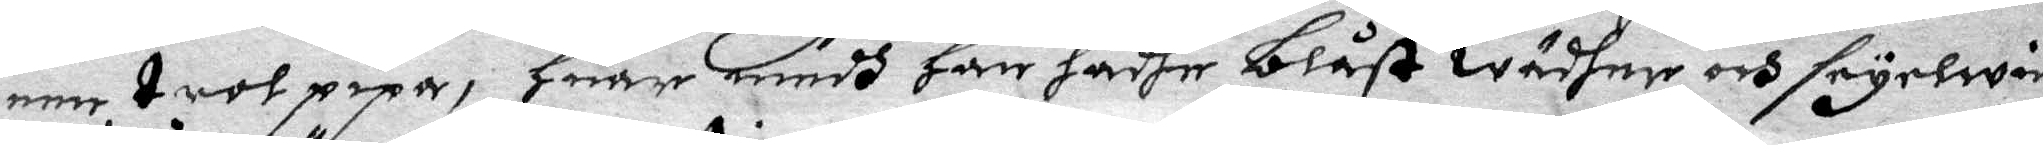een trolpipa, Huar medh han hadhe blåst wädher och seyewin
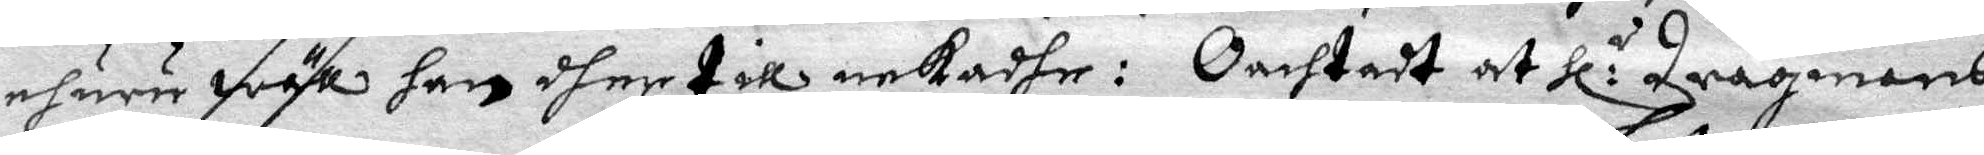ehuru wäl han dher till nekadhe: Oachtadt at Hl:r dragnens
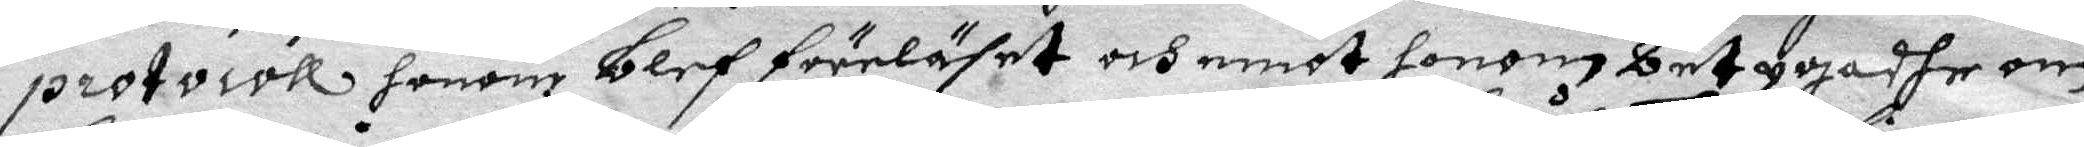protocoll honom blef föreläst och emot honom betygadhe om
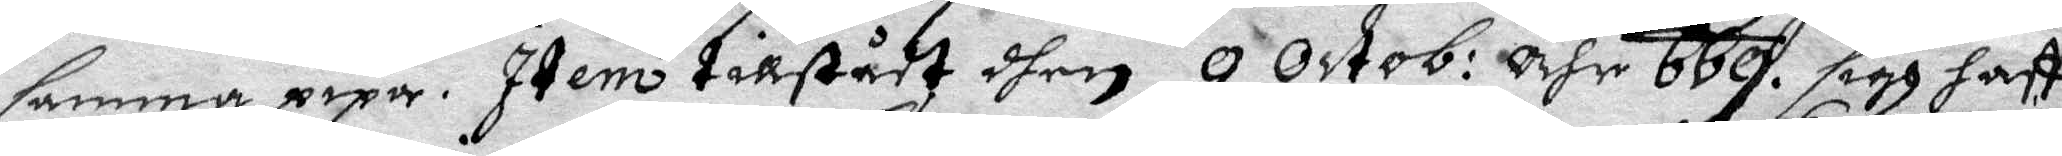samma pipa. Item tillstådt then 9 Octob: åhr 669 sigh haftt
